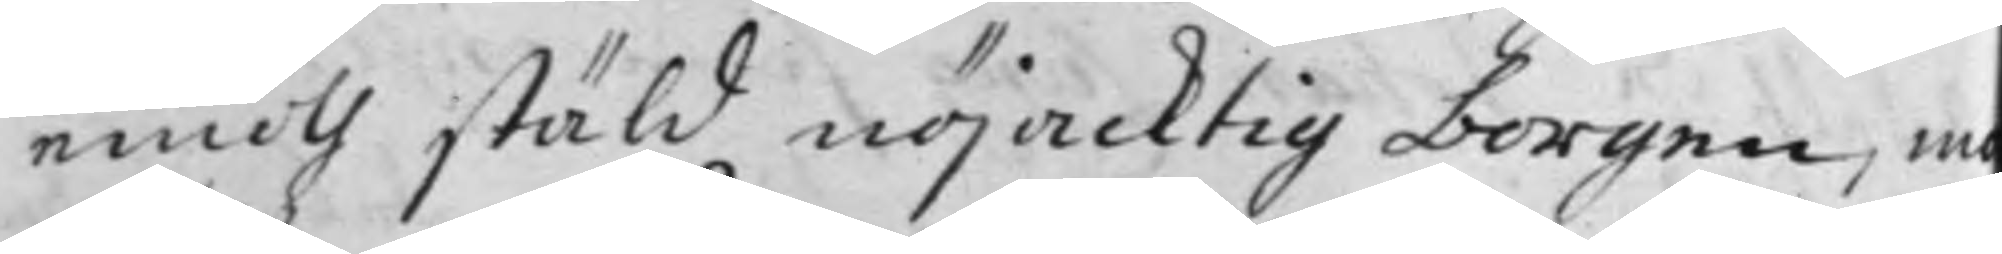emoth stäld nöjacktig borgen, m
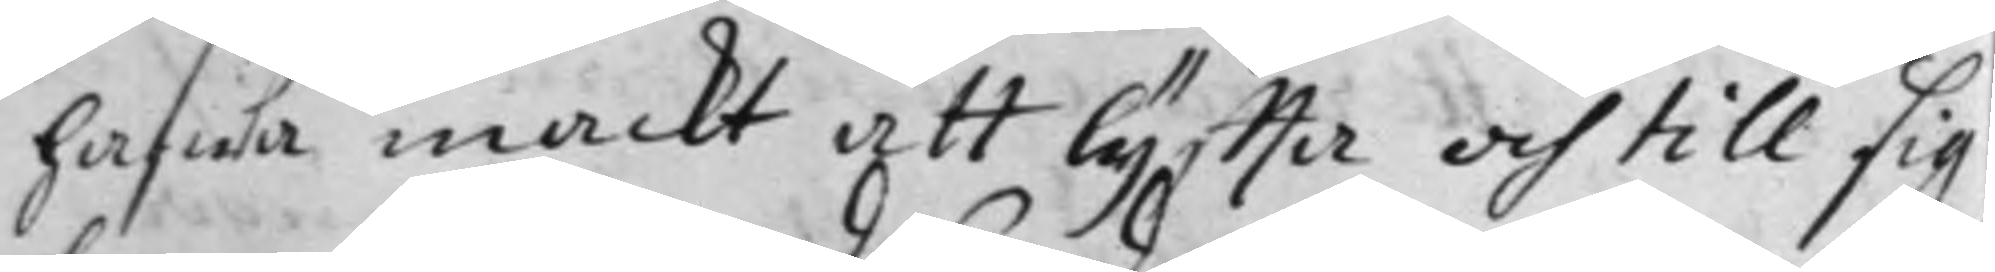hafwa mackt att lyffta och till sig
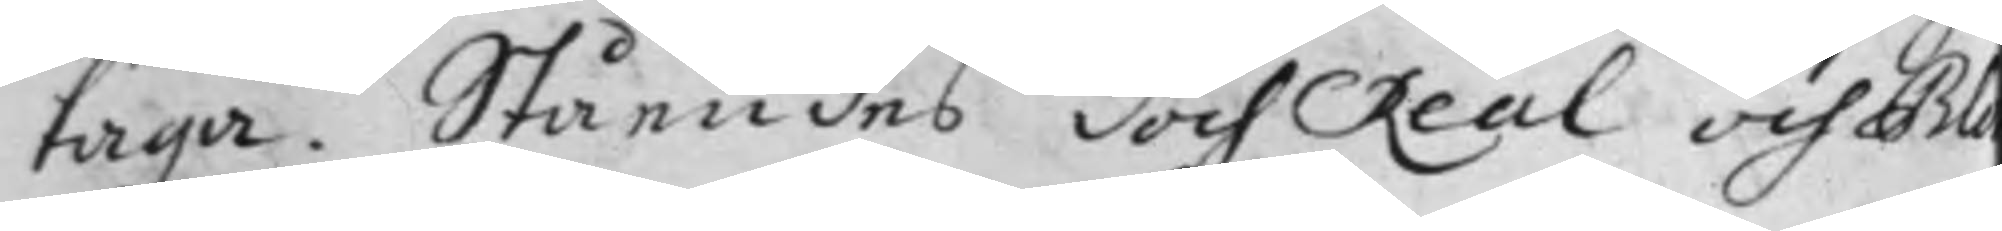taga. Ståendes doch Real och Blo
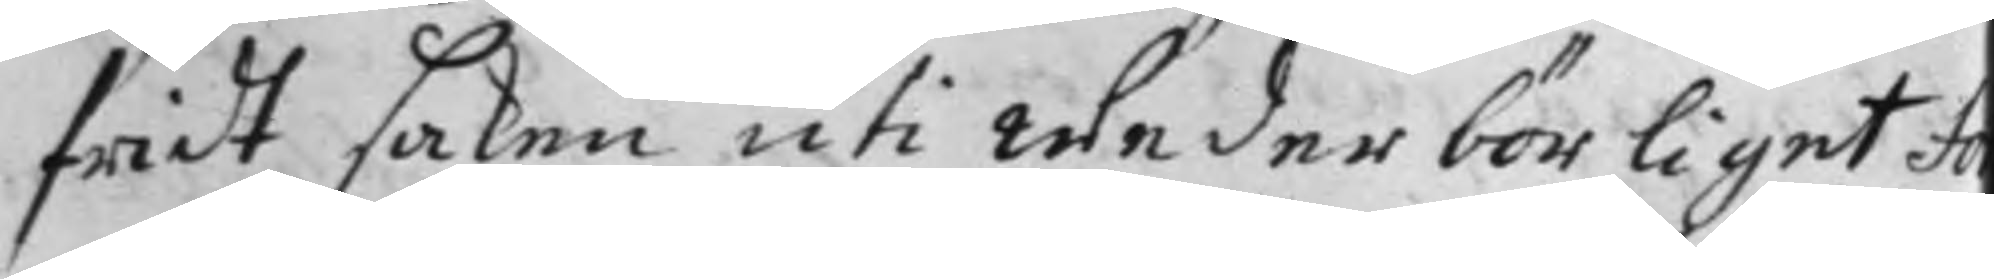fridt saken uti wederbörliget Fo 
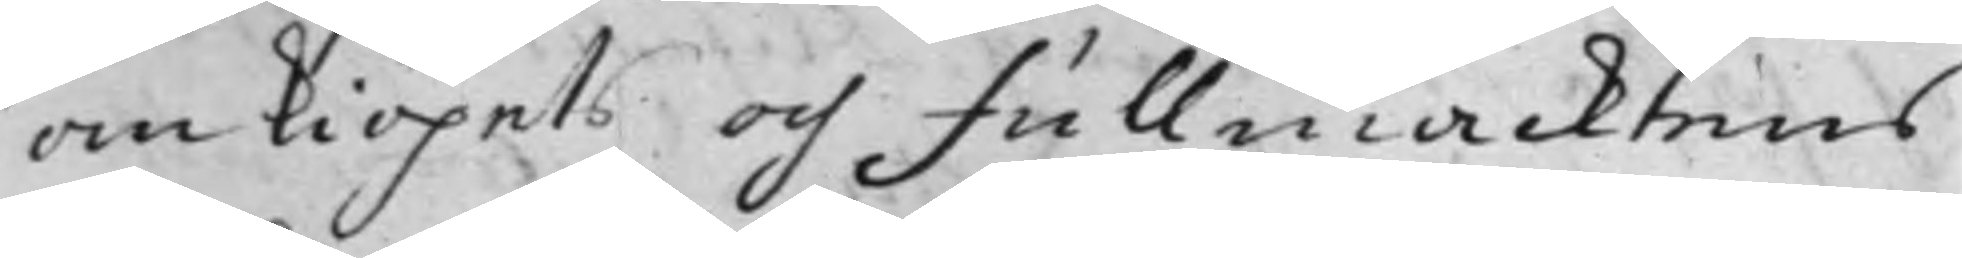om kiöpets och fullmacktens
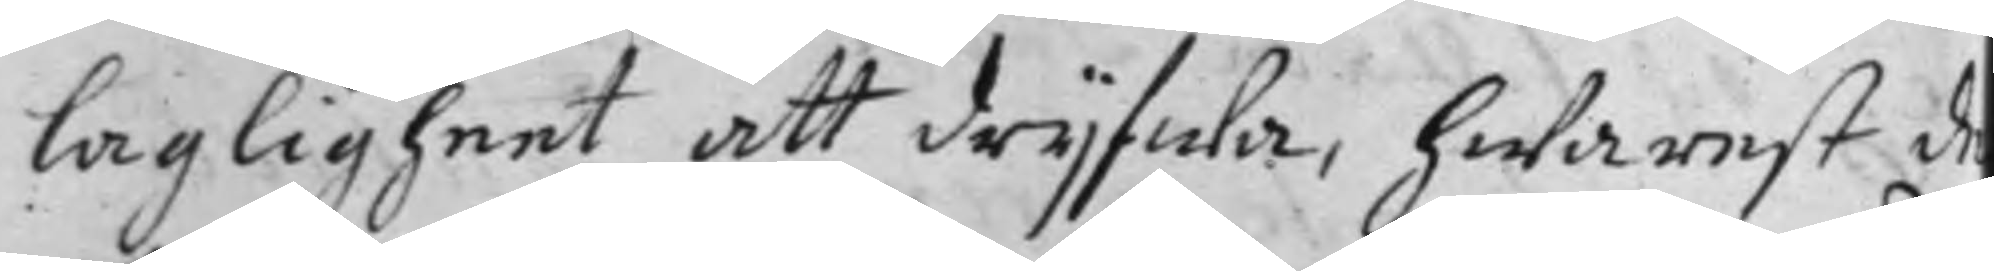lagligheet att drijfwa, hwarest d
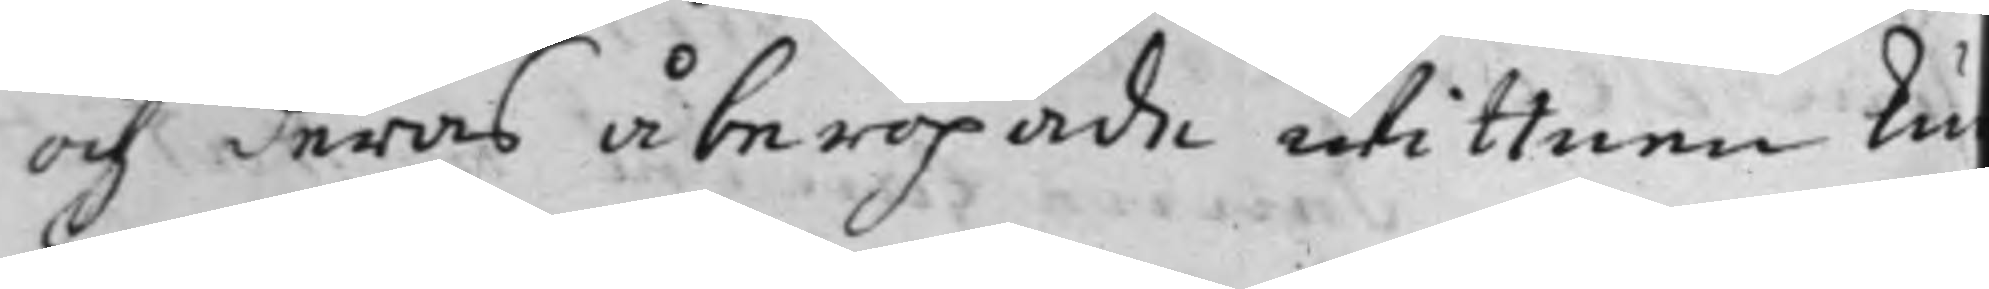och deras åberopade wittnen ku
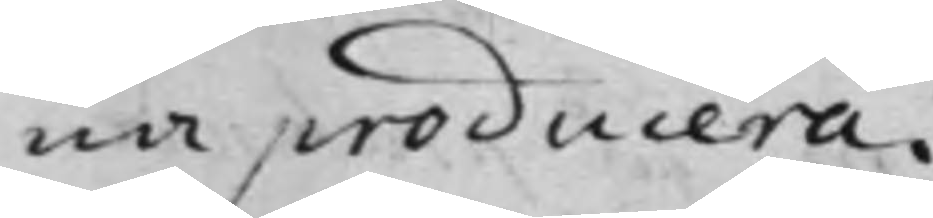na producera.
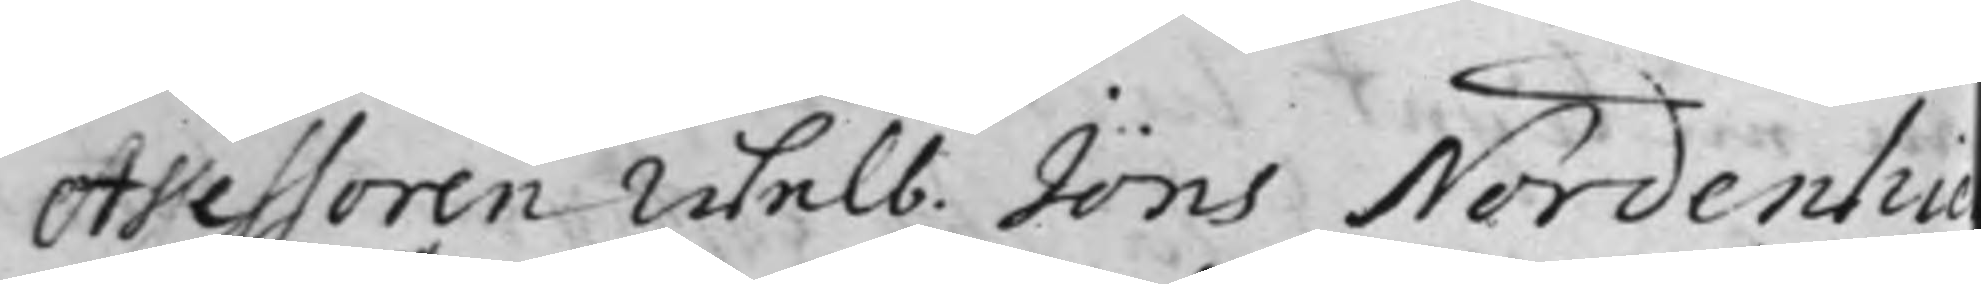Assessoren Welb. Jöns Nordenhie
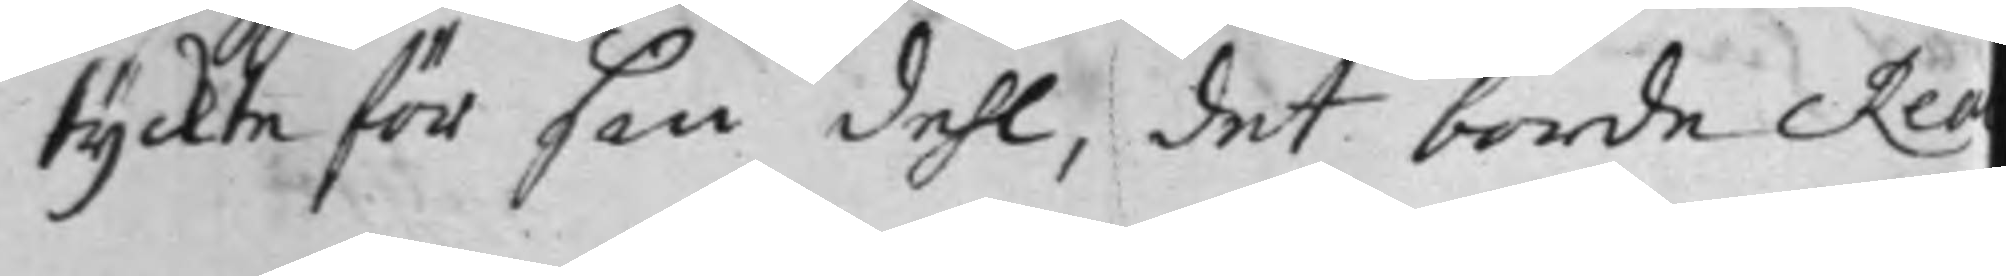tyckte för sin dehl, det borde Rea
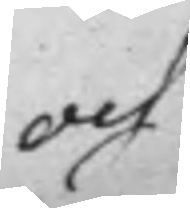och
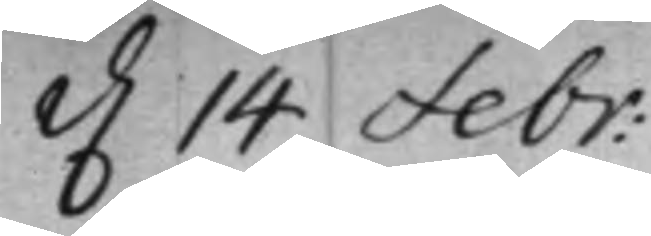d. 14 febr:
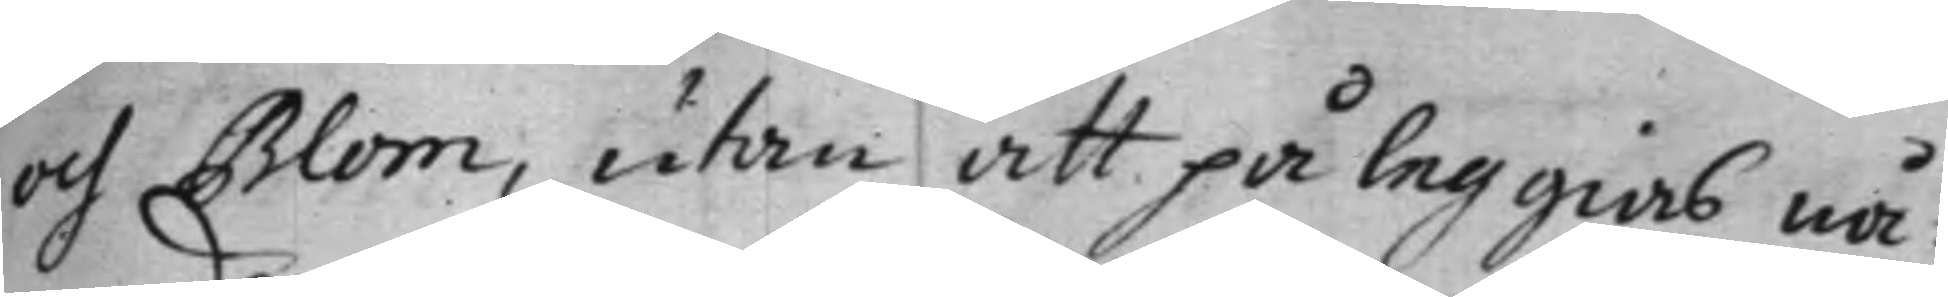och Blom, utan att påleggias nå¬
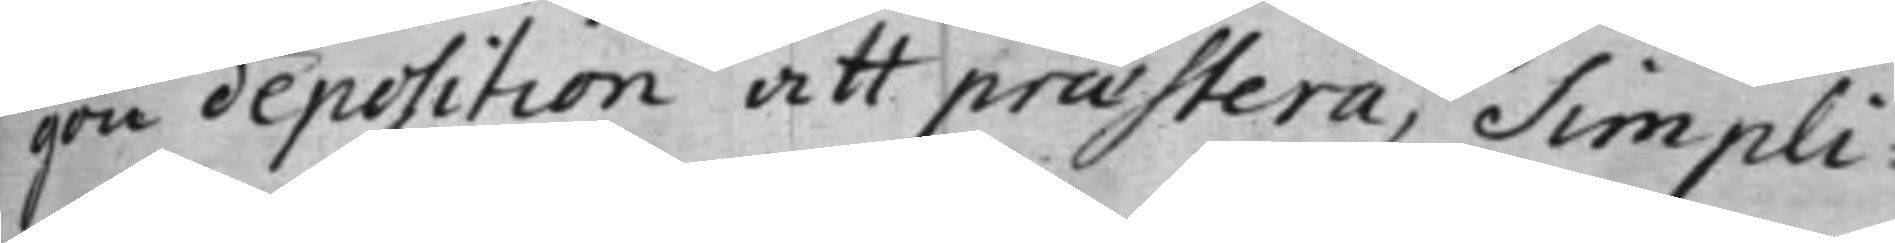gon deposition att prӕstera, Simpli¬
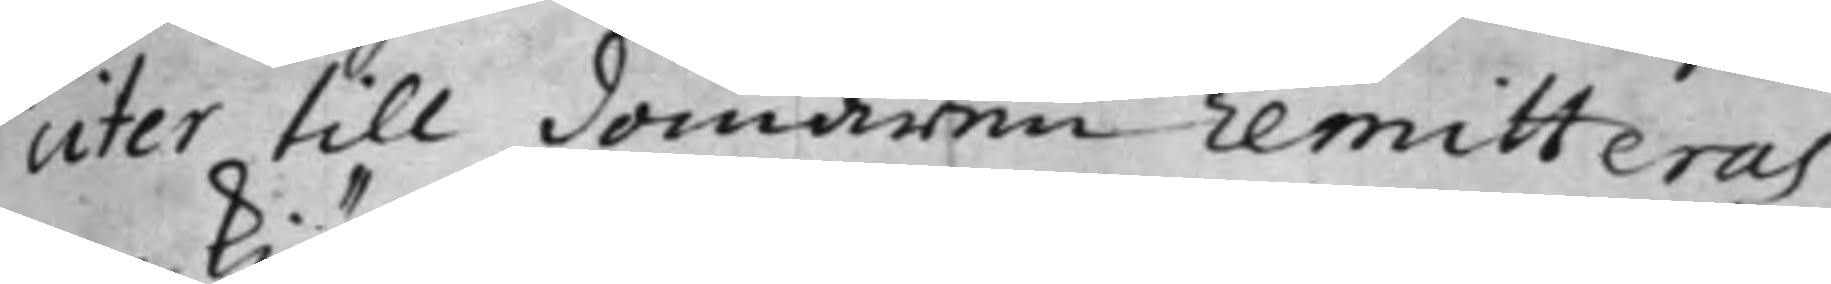citer till domaren remitteras
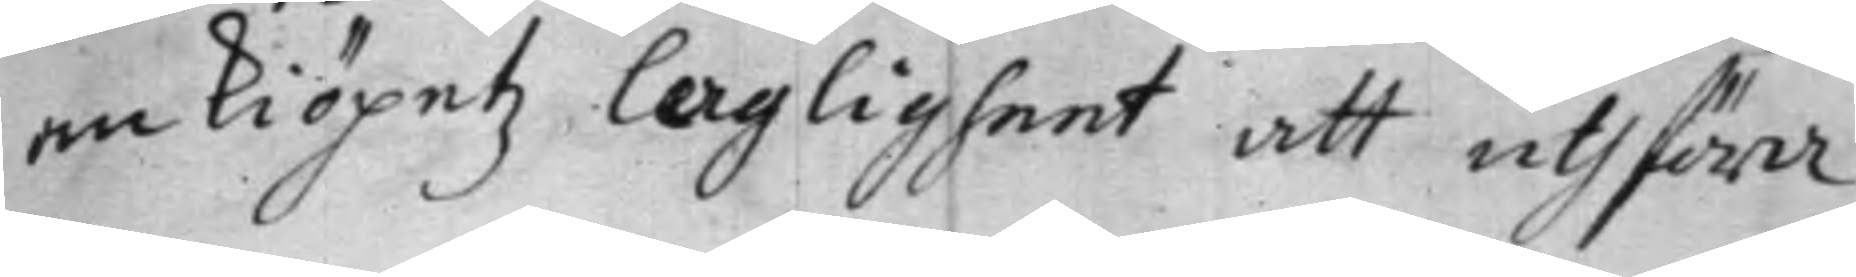om kiöpetz lagligheet att uthföra.
